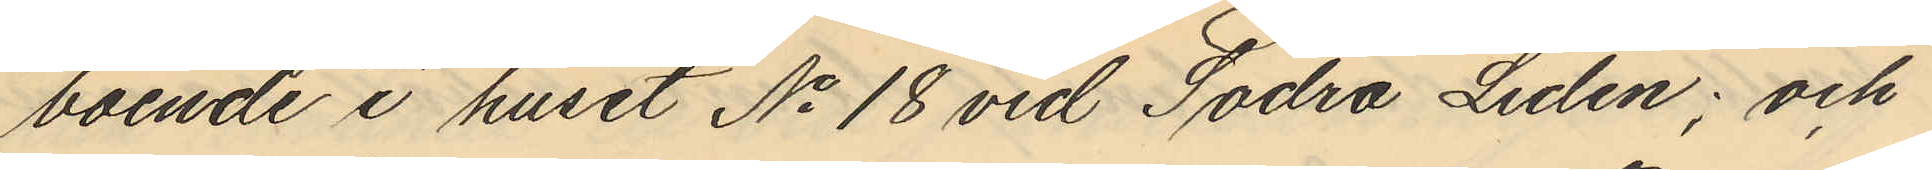boende i huset No 18 vid Södra Liden; och
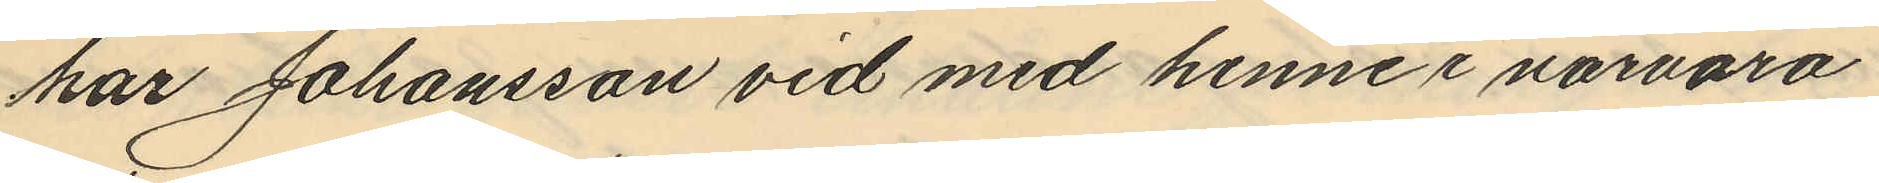har Johansson vid med henne i närvaro
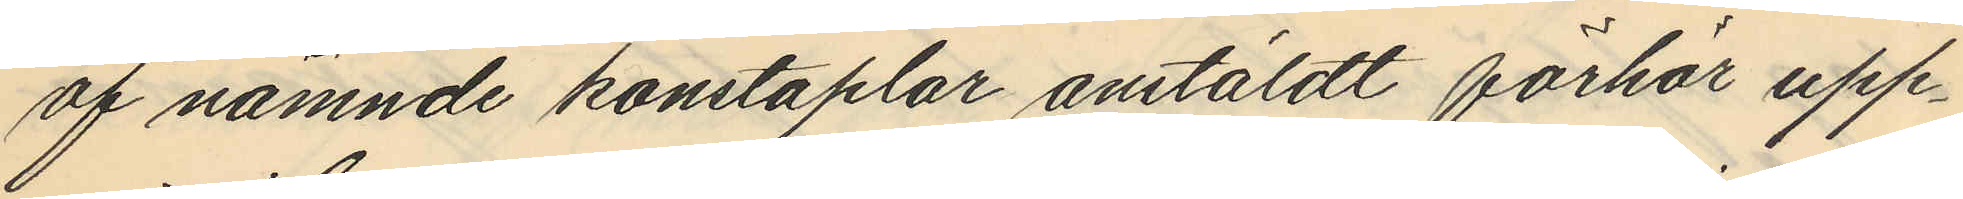af nämnde konstaplar anstäldt förhör upp¬
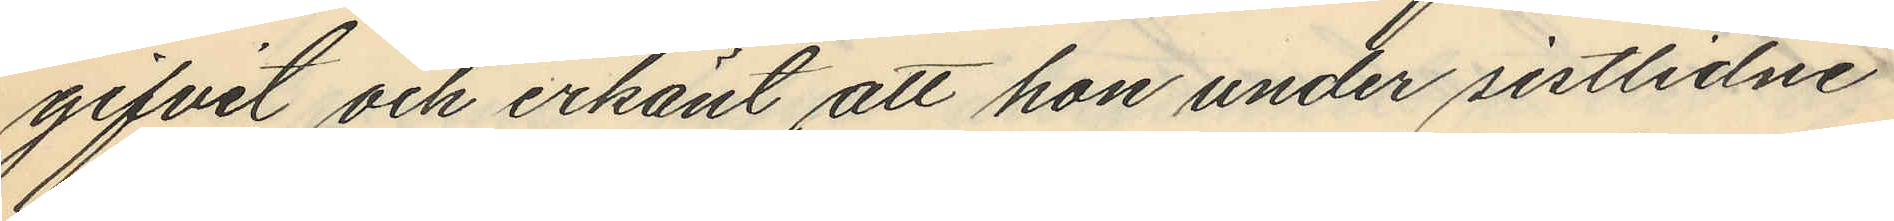gifvit och erkänt att hon under sistlidne
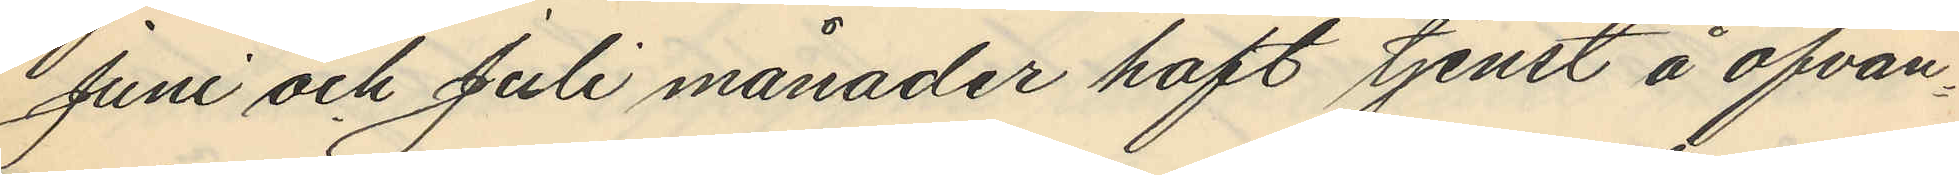Juni och Juli månader haft tjenst å ofvan¬
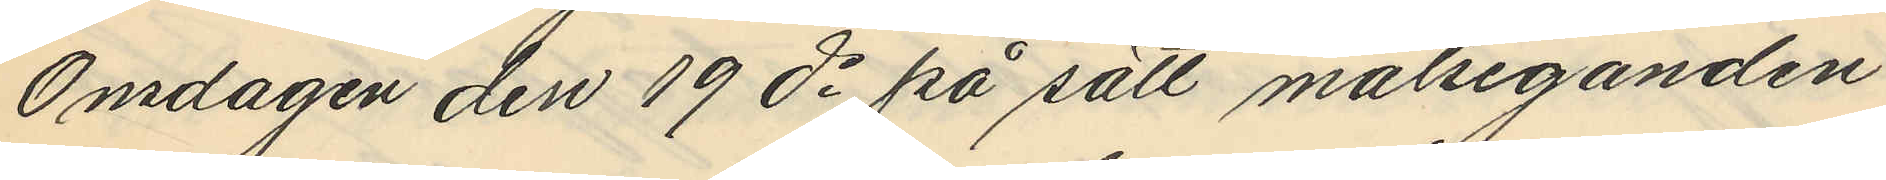Onsdagen den 19 ds på sätt målseganden
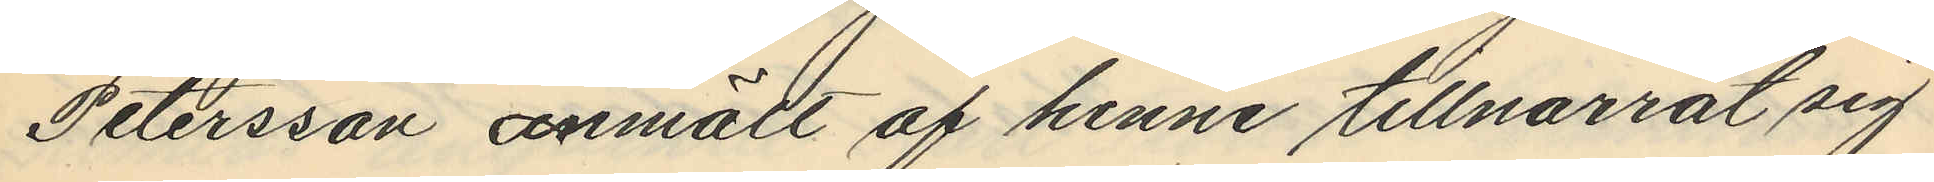Petersson anmält af henne tillnarrat sig
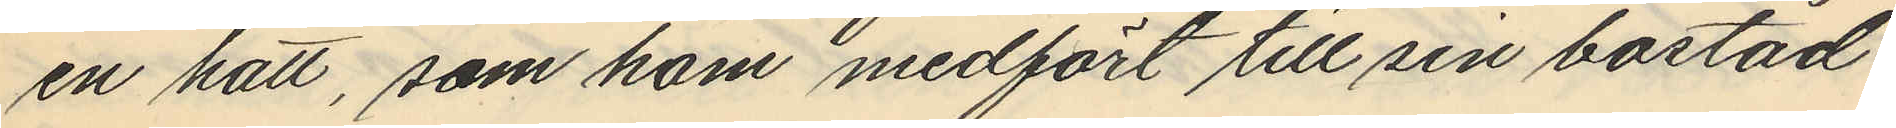en hatt, som hom medfört till sin bostad
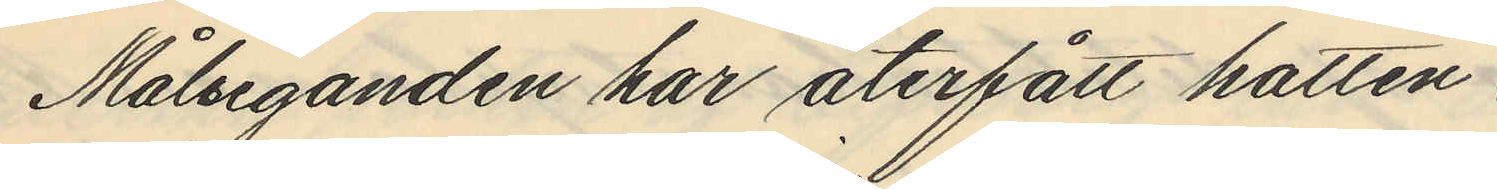Målseganden har återfått hatten.
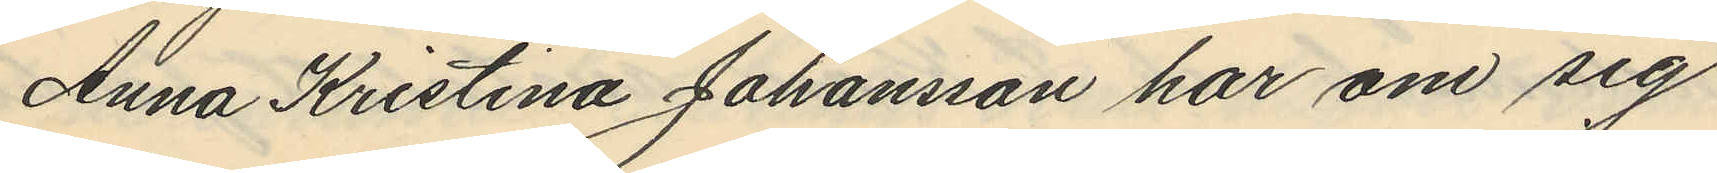Anna Kristina Johansson har om sig
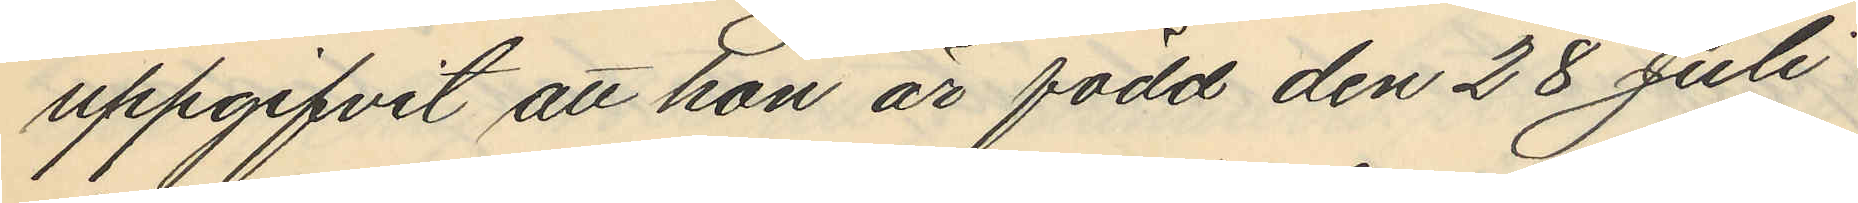uppgifvit att hon är född den 28 Juli
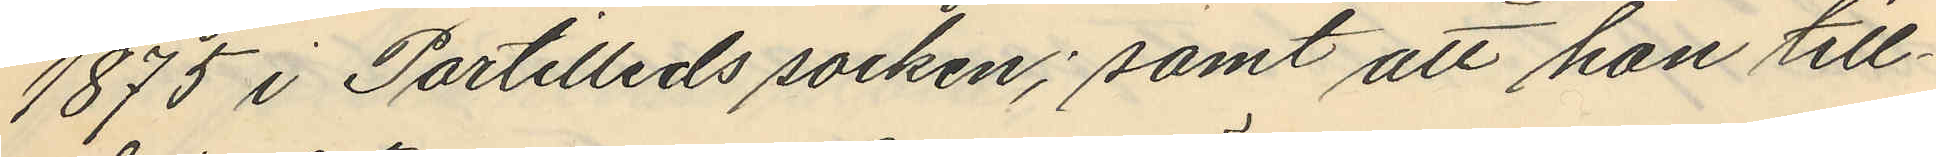1875 i Partilleds socken; samt att hon till¬
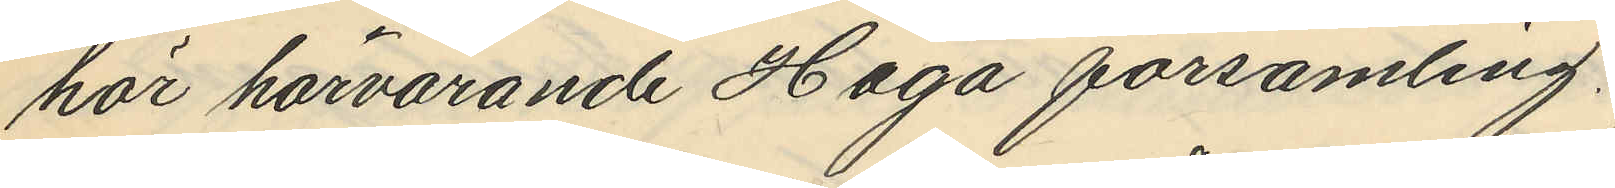hör härvarande Haga församling.
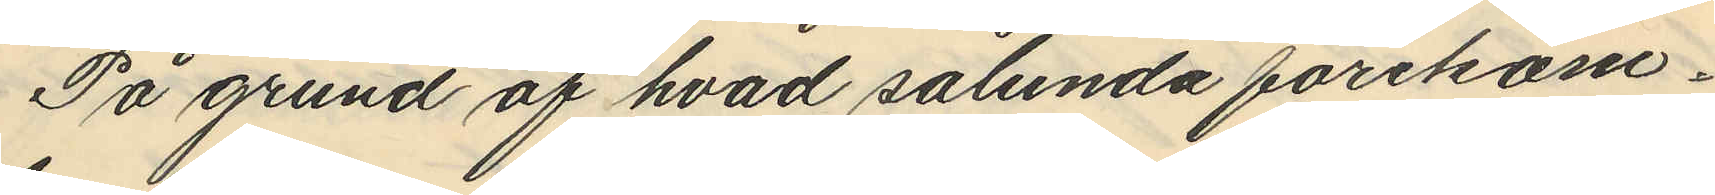På grund af hvad sålunda förekom¬
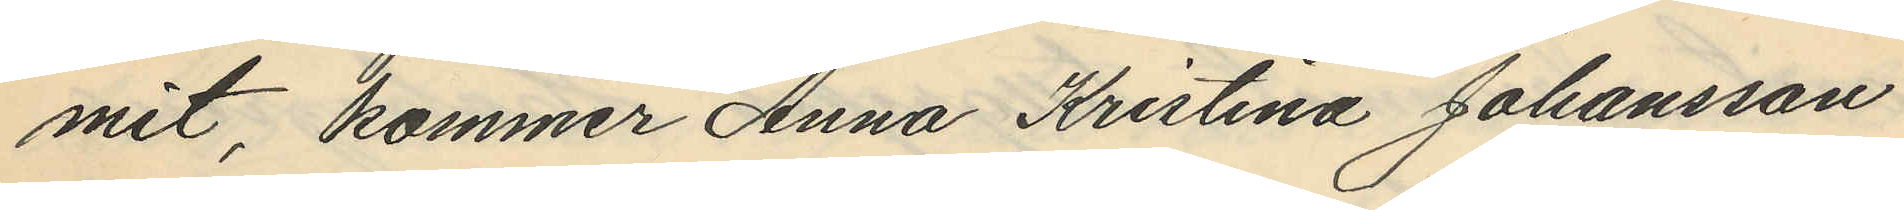mit, kommer Anna Kristina Johansson
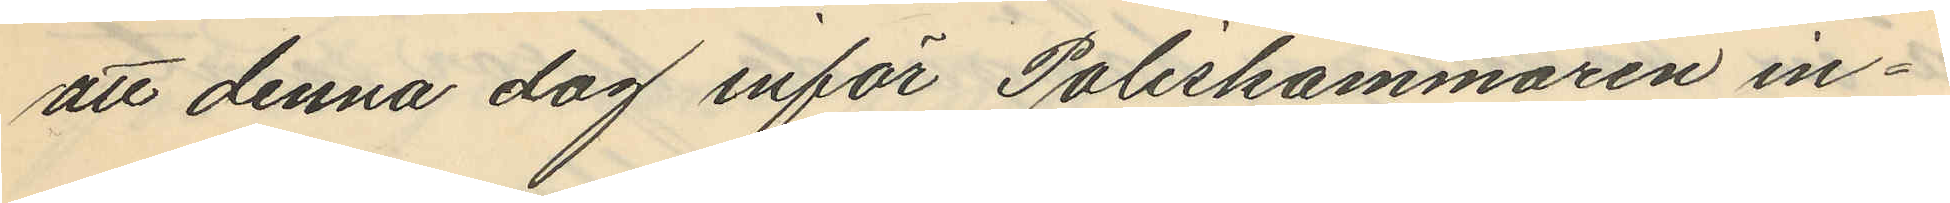att denna dag inför Poliskammaren in¬
